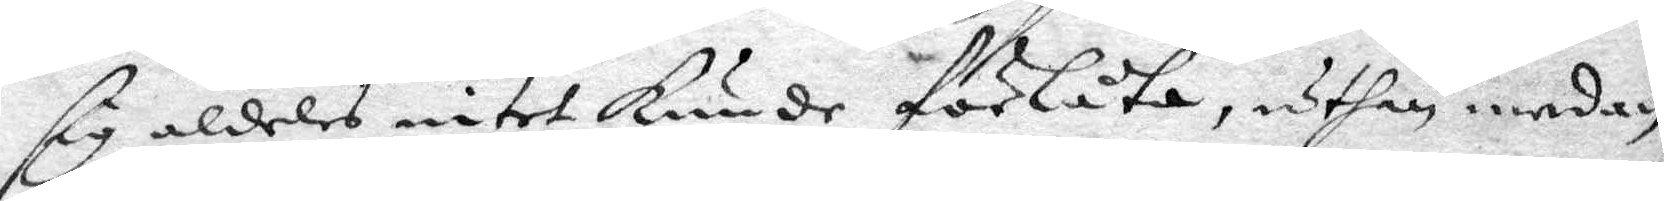sig aldeles intet kunde förlåta, uthan medan
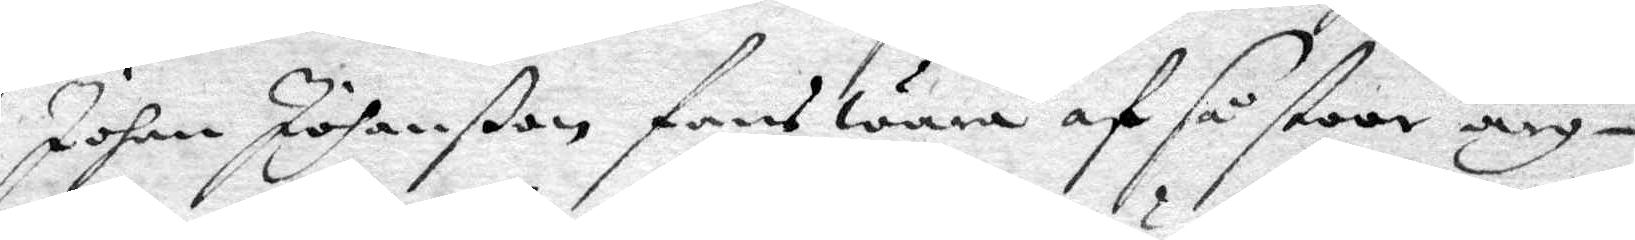Johan Johanßon fans wara af så stoor arg¬
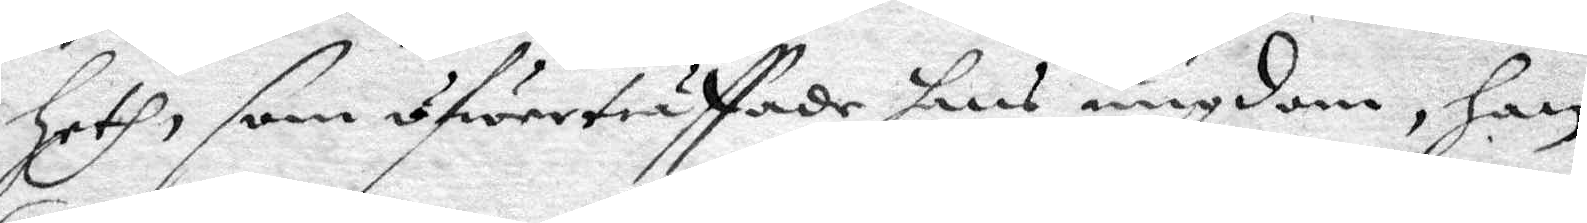heth som öfwerträffade hans ungdom, han
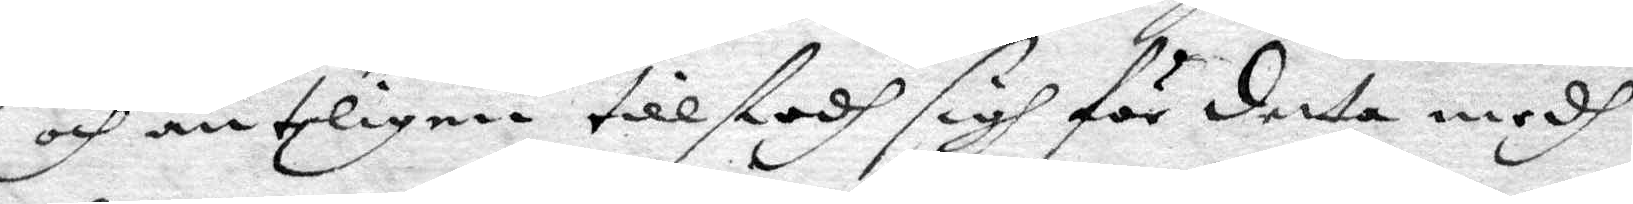och änteligen tillstodh sigh för detta medh
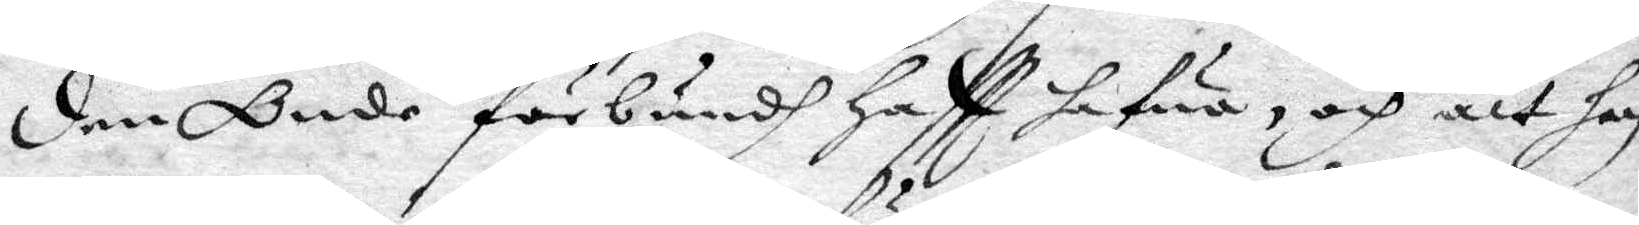den Onde förbundh haftt hafwa, och att han
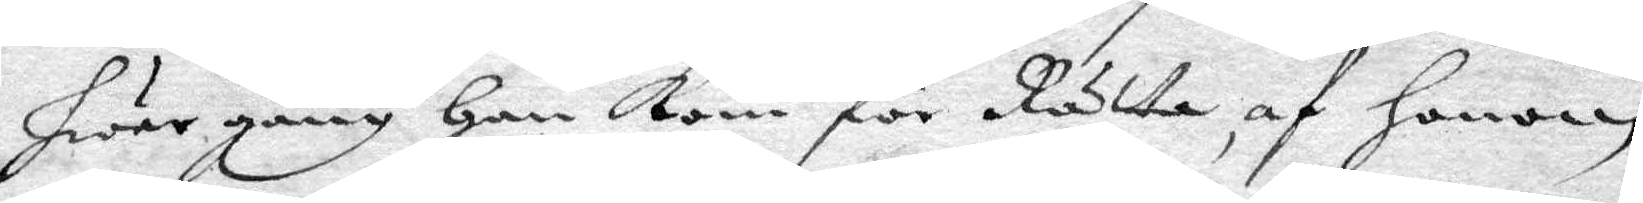hwar gång han kom för Rätta, af honom
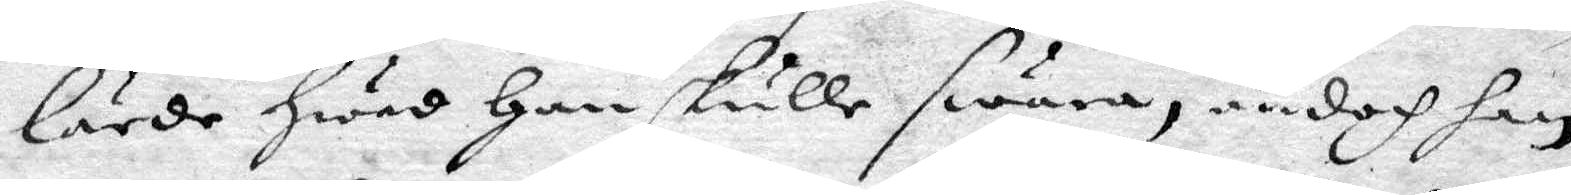lärde hwad han skulle swara, ändoch han
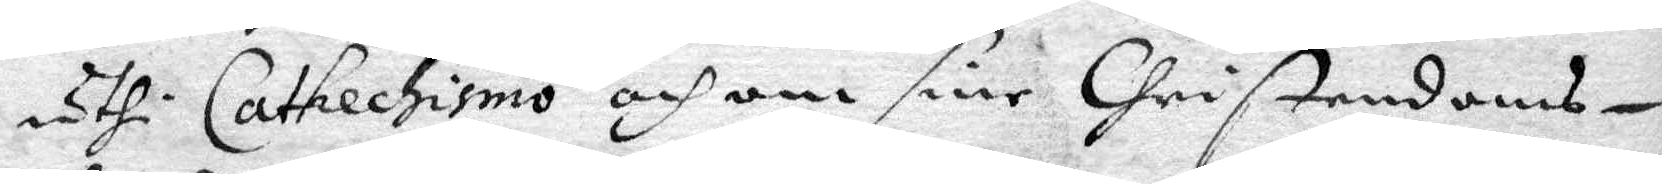uthi Catkechismo och om sine Christendoms¬
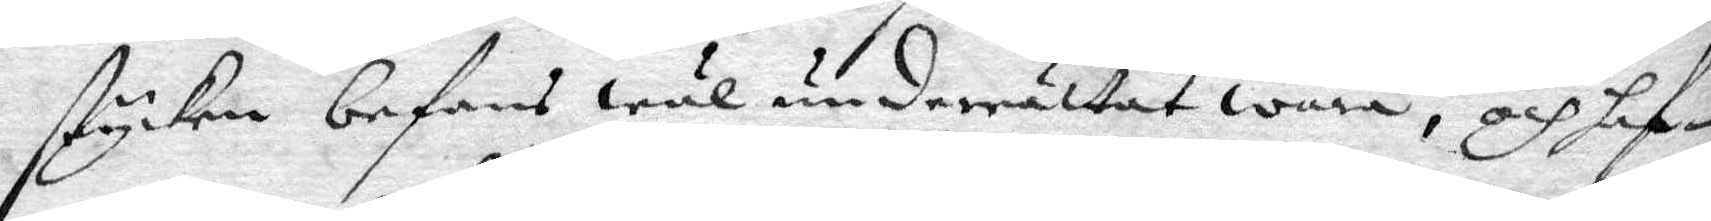stycken befans wäl underrättat wara, och haf¬
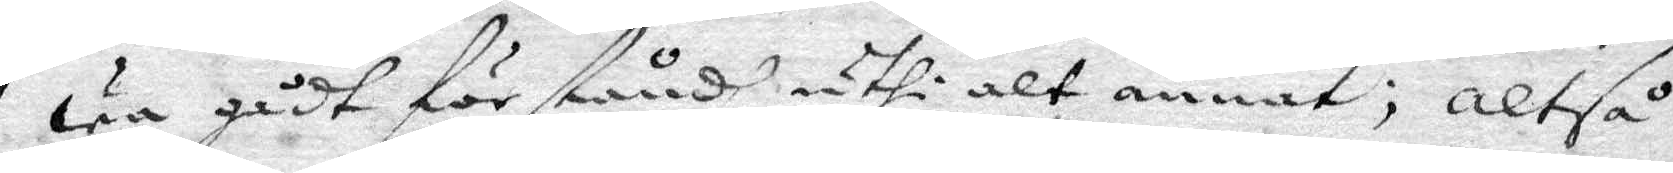wa gådt för ståndh uthi alt annat; altså
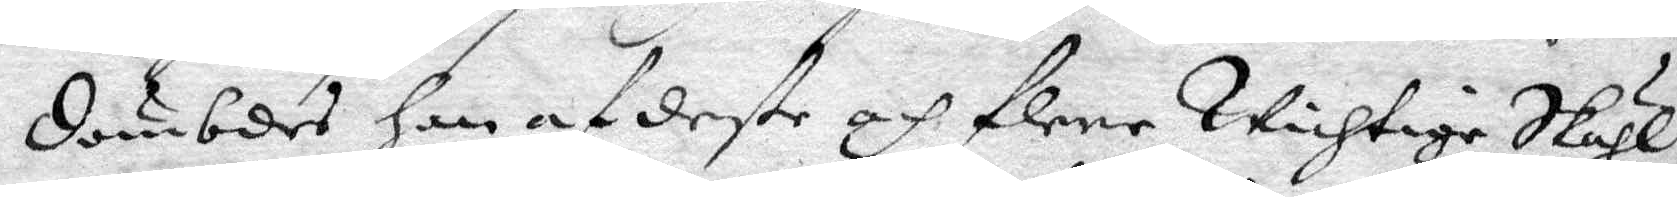dömbdes han af deße och flere Wichtige Skiäl,
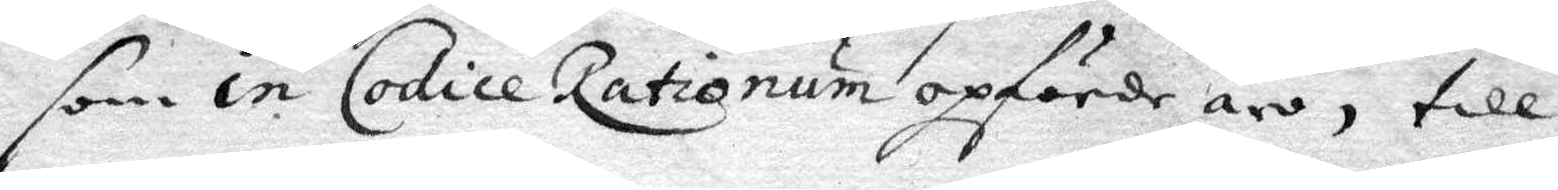som in Codice Rationum opförder äro, till 
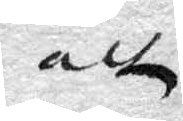att
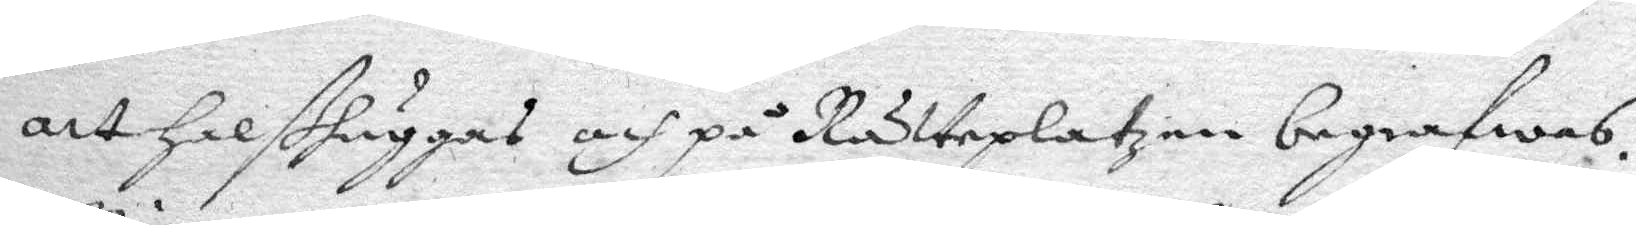att halßhuggas och på Rätteplatzen begrafwas.
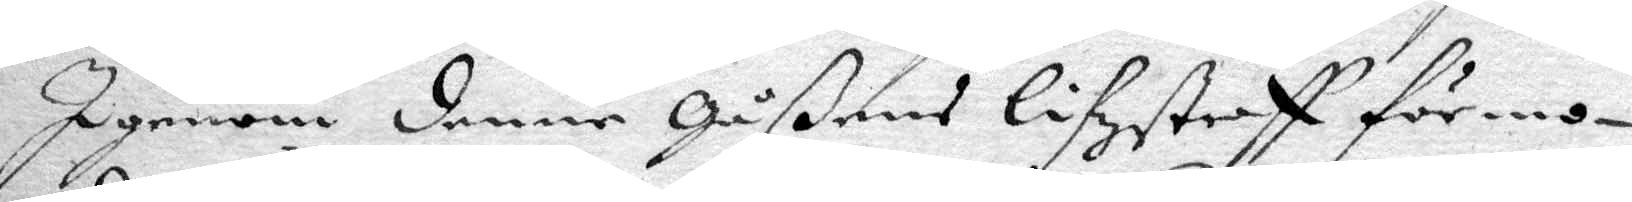Igenom denne Gåßens lifzstraff förmo¬
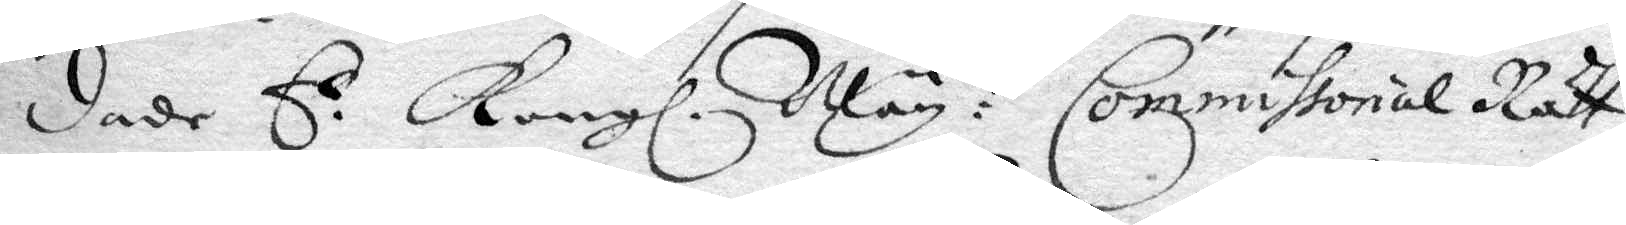dade E.s Kongl. May:tz Commissorial Rätt
